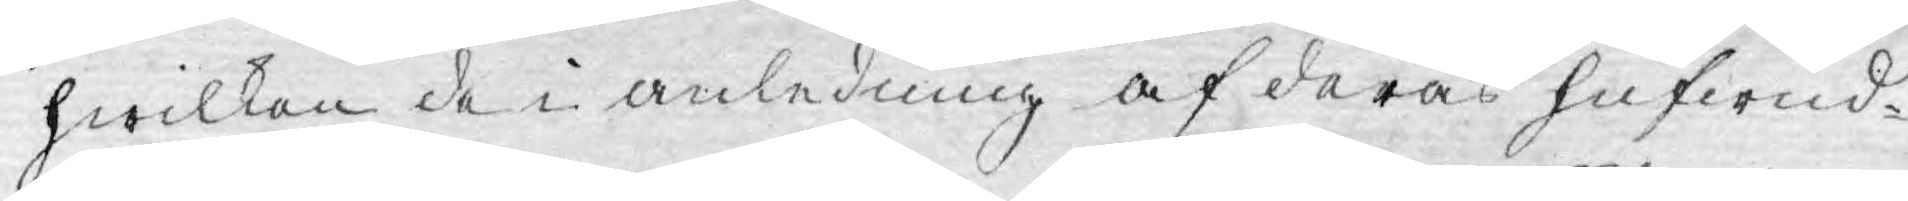hwilken de i anledning af deras hufwud¬
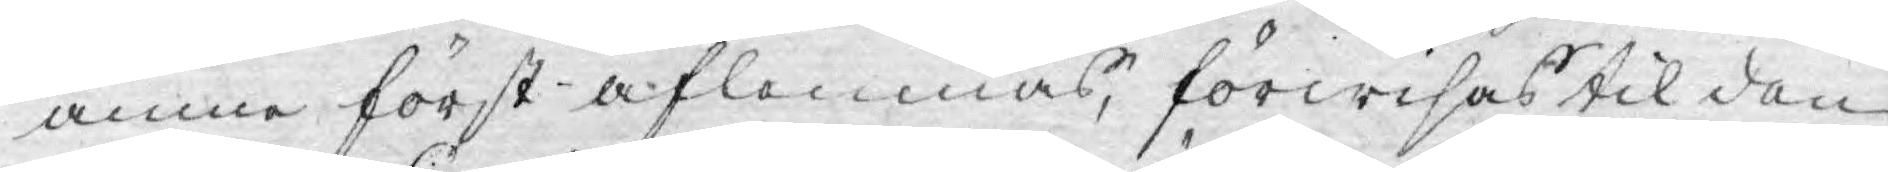ämne först aflemnas, förwisas til den
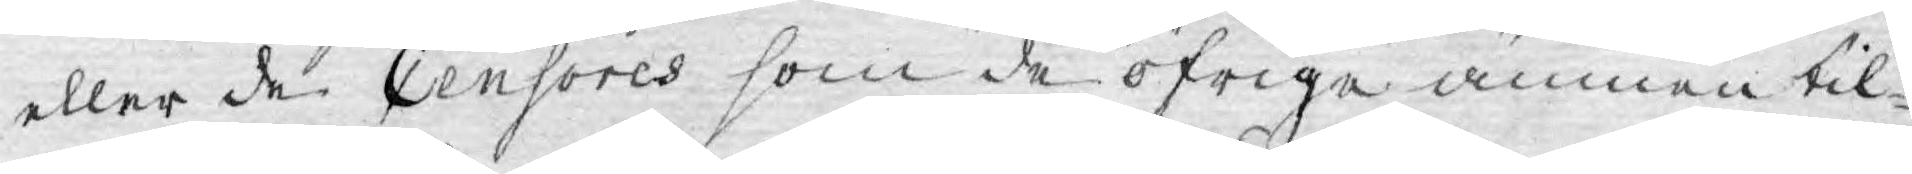eller de Censores som de öfrige ämnen til¬
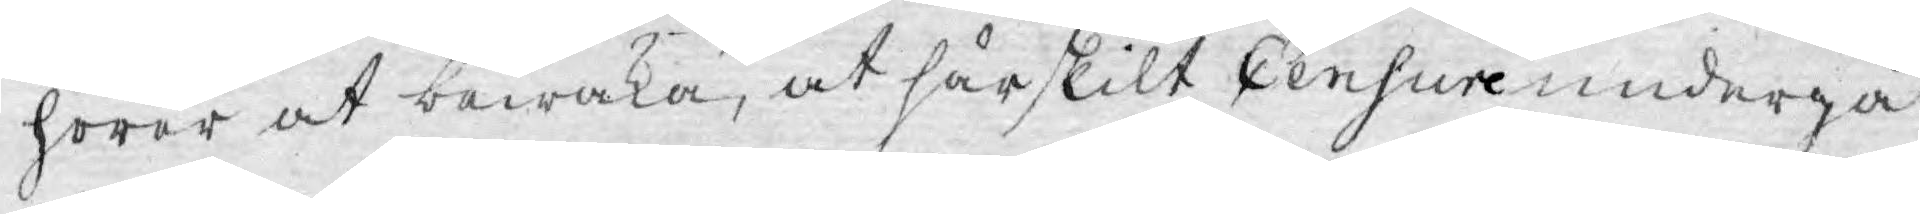hörer at bewaka, at särskilt Censur undergå
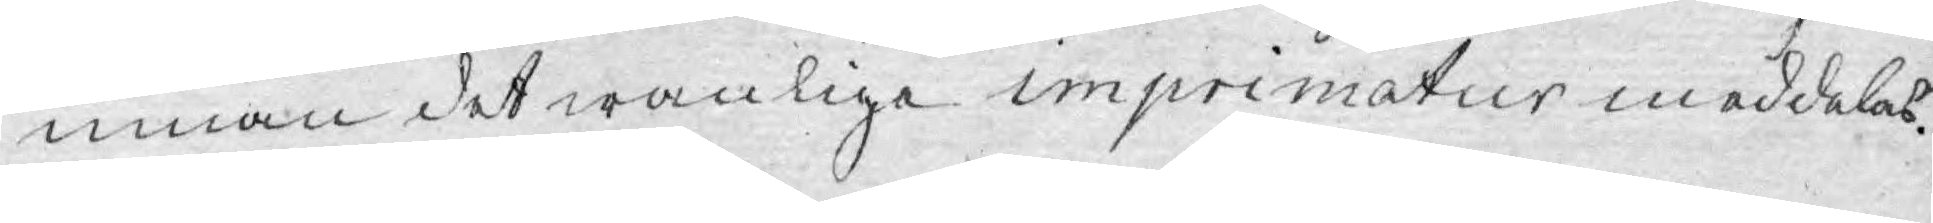innan det wanlige imprimatur meddelas.
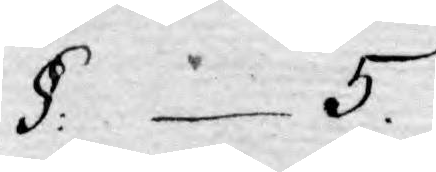§: 5.
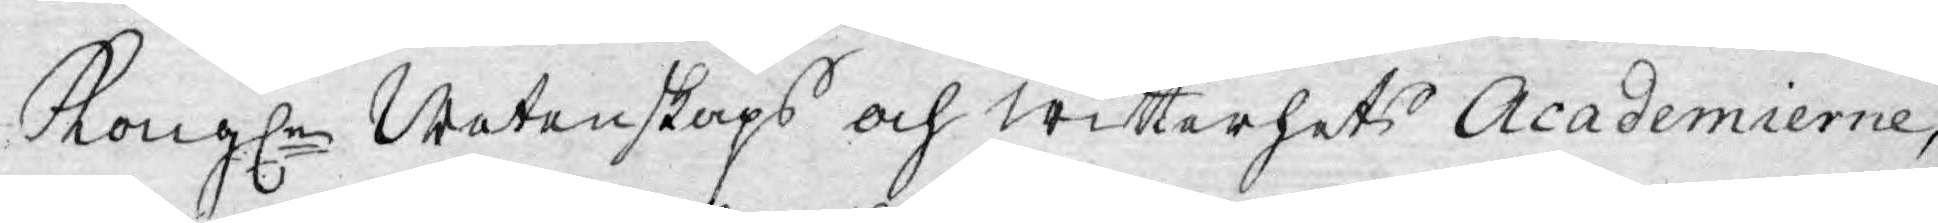Kongl.e Wetenskaps och witterhets Academierne,
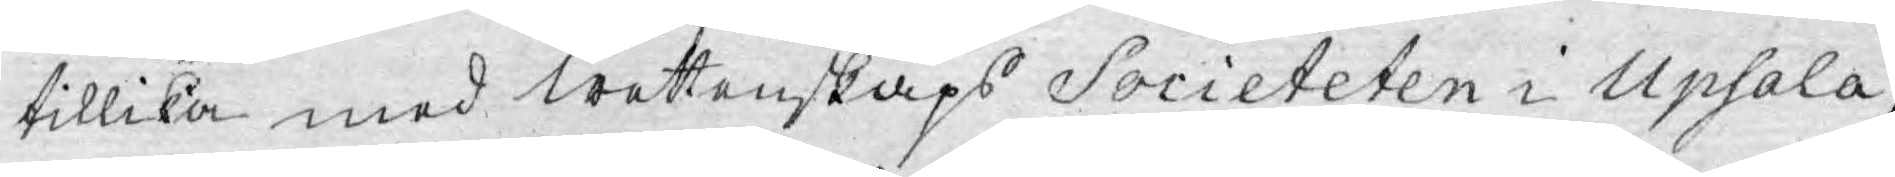tillika med wettenskaps Societeten i Upsala,
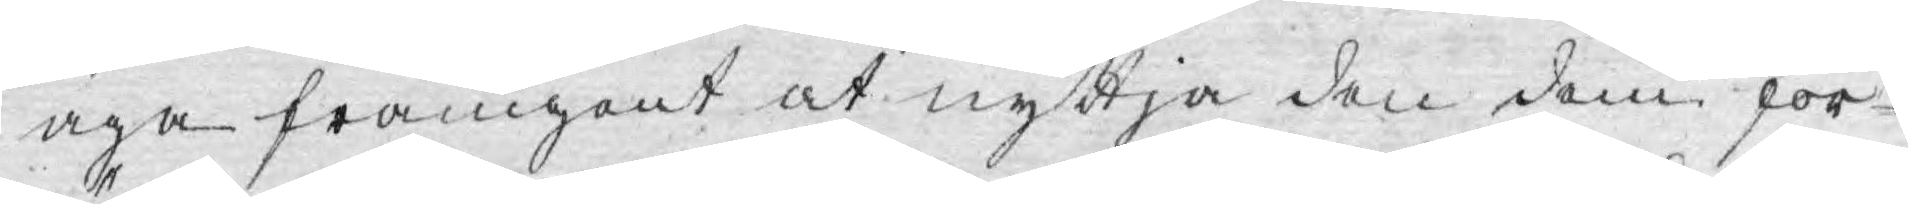äga framgent at nyttja den dem för¬
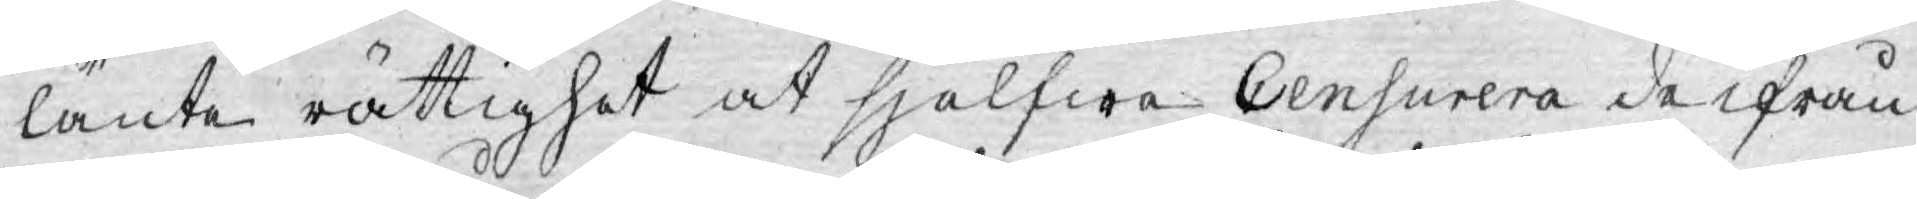länte rättighet at sjelfwa Censurera de ifrån
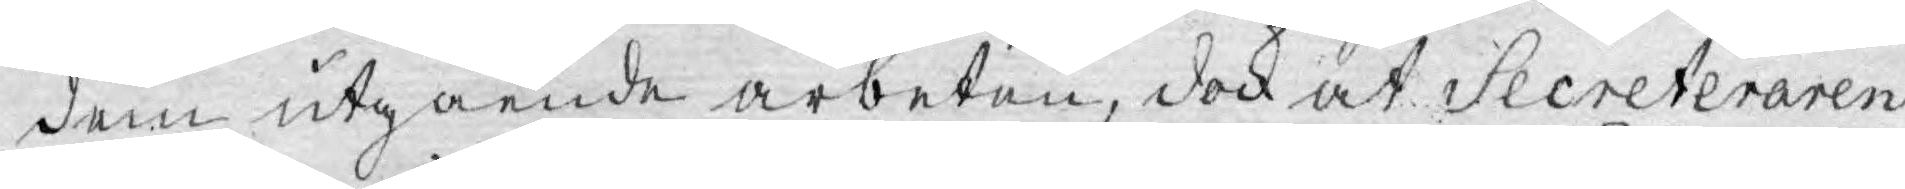dem utgående arbeten, dock at Secreteraren
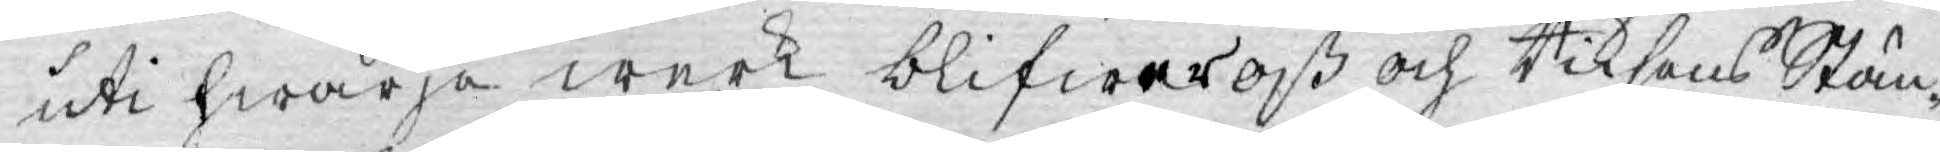uti hwarje werk blifwer oß och Riksens Stän¬
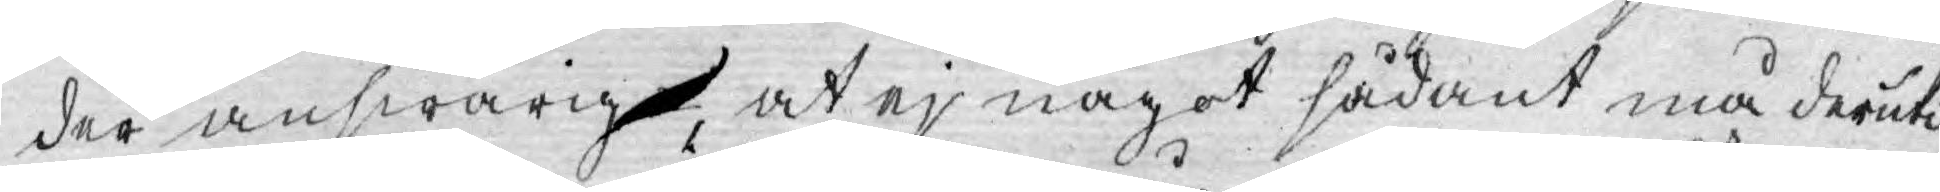der answarig, at ej något sådant må deruti
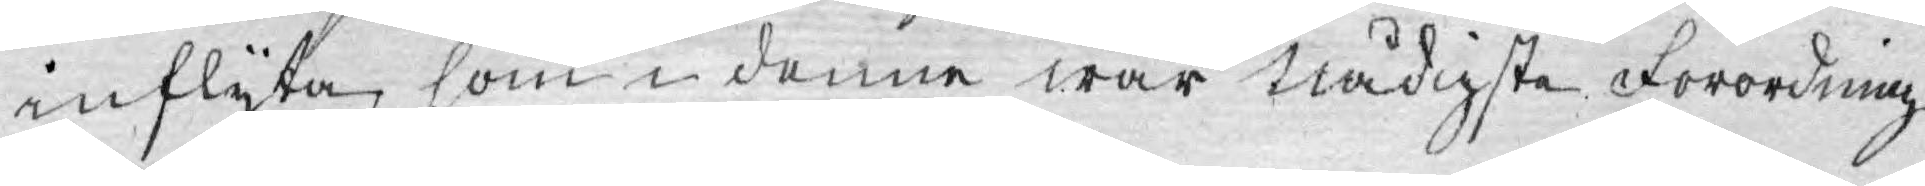inflyta, som i denne wår nådigste Förordning
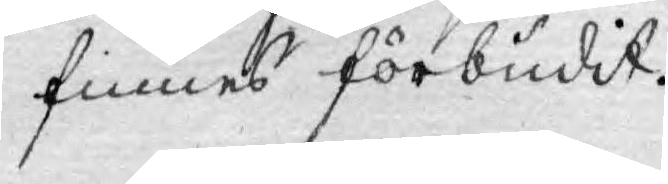finnes förbudit.
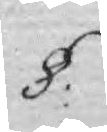§.
